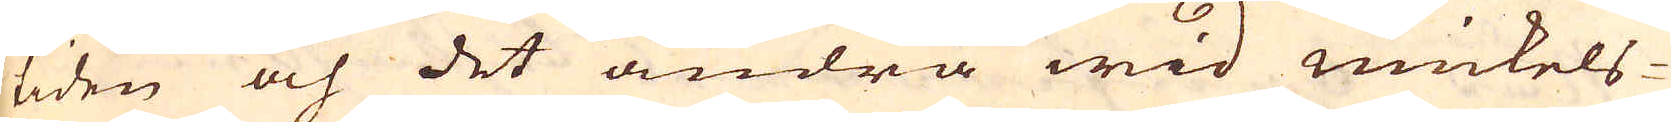tiden och det andra wid mickels-
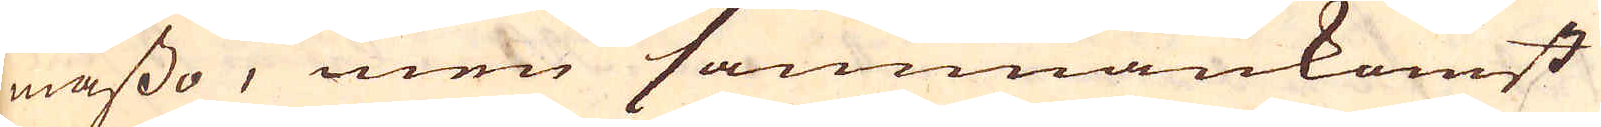mässo, men sammankomst
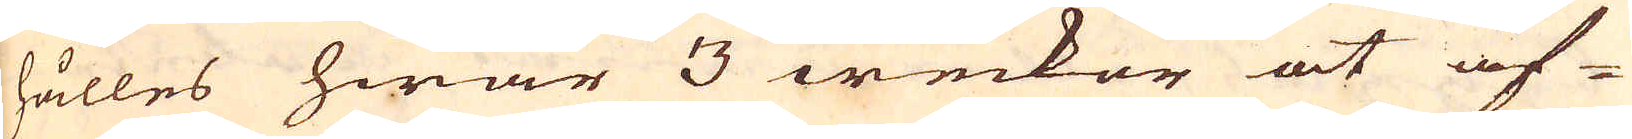hålles hwar 3 weckor at af-
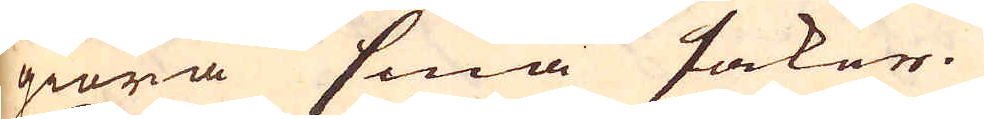giöra små saker.
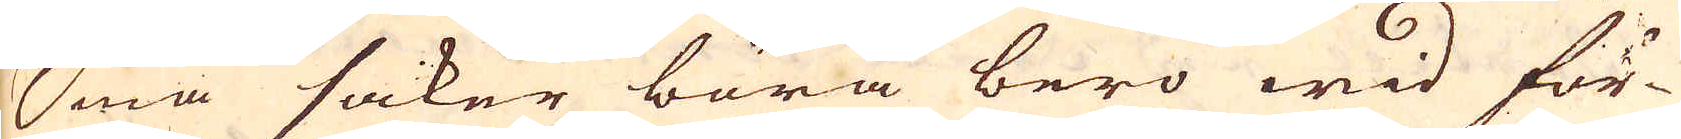Små saker böra bero wid för-
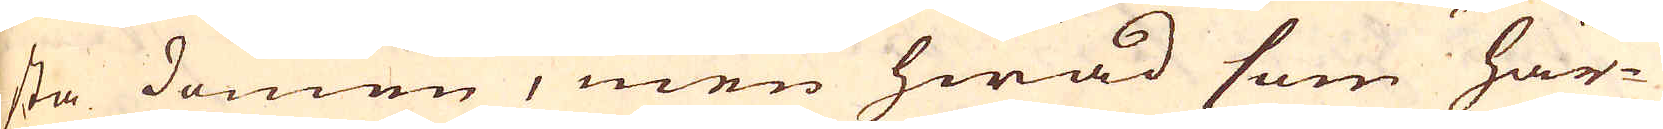sta domen, men hwad som här-
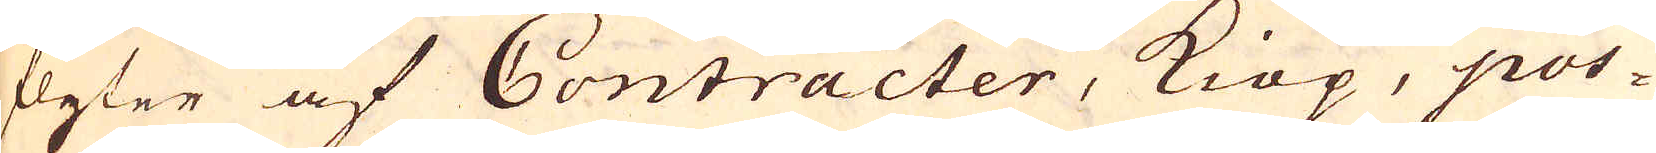flyter af Contracter, Kiöp, pos-
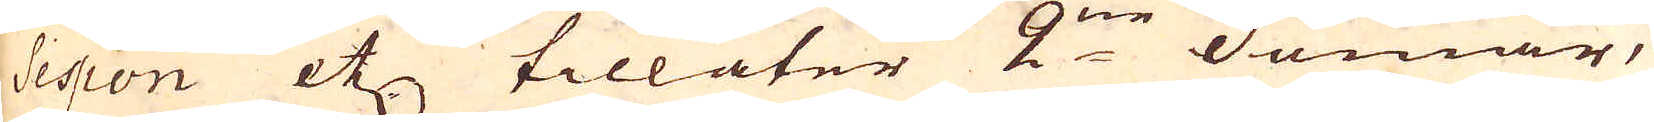session etc tillåter 2:ne domar,
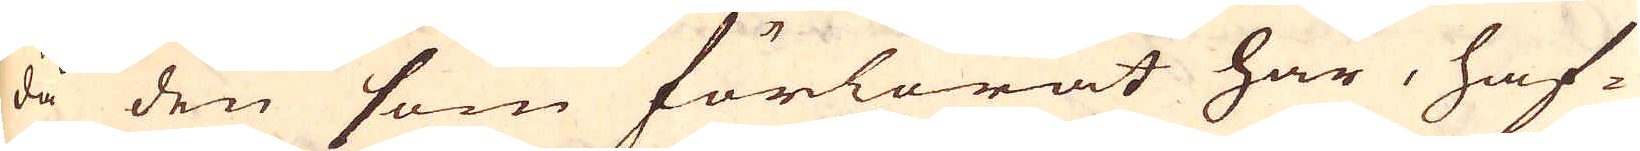då den som förlorat har, haf-
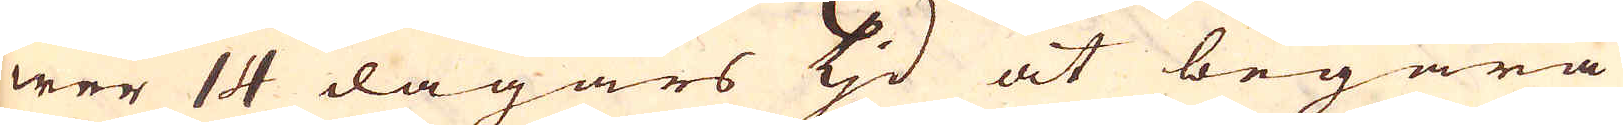wer 14 dagars tjd at begära
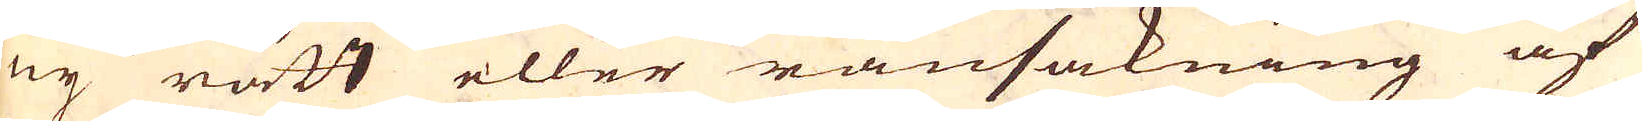ny rätt eller ransakning af
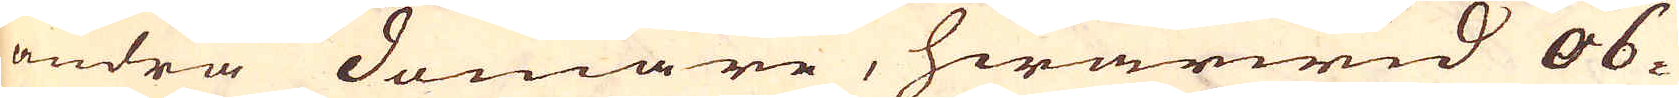andra domare, hwarwid ob-
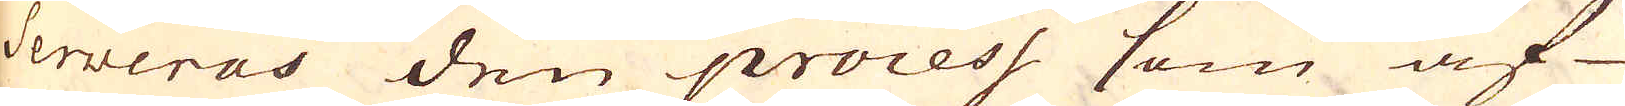serweras den process som af
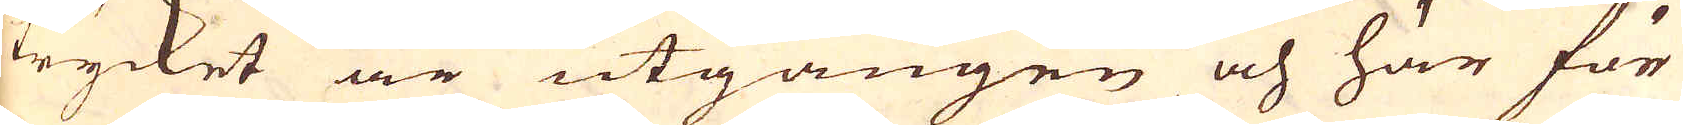trycket är utgången och här för
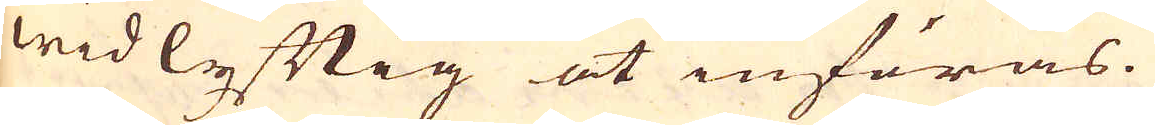widlyftig at införas.
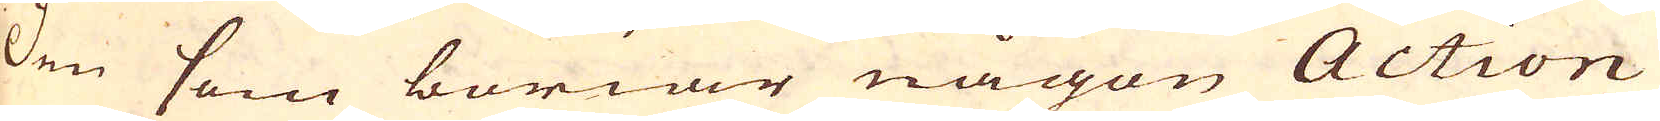Den som böriar någon Action
